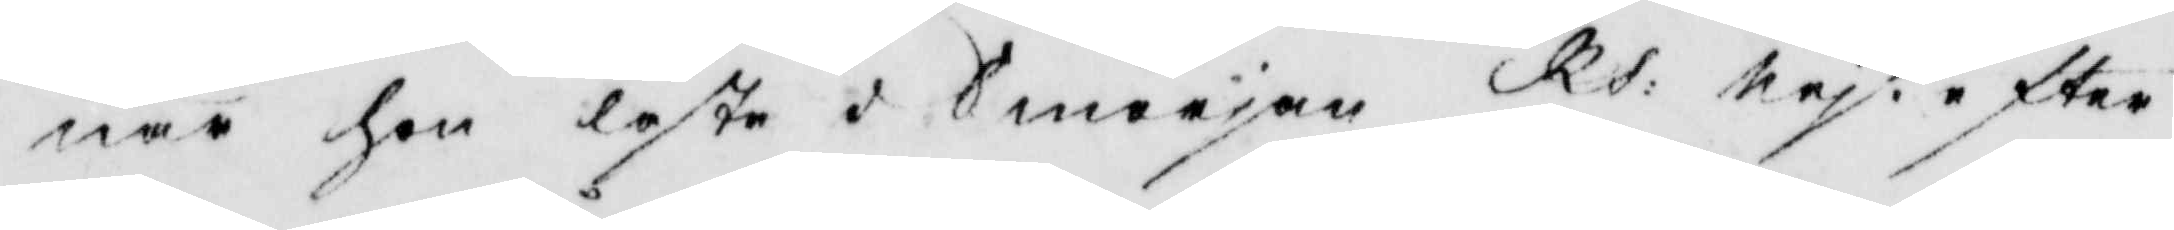när hon läste i Smörjan. Rs: nej efter
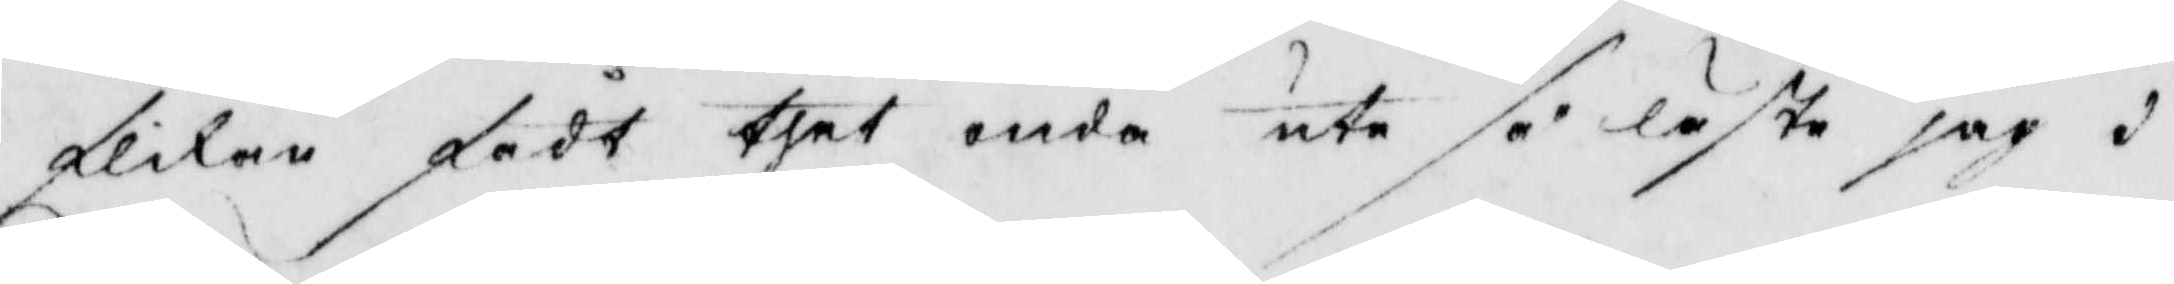flikan fådt thet onda ute så läste jag i
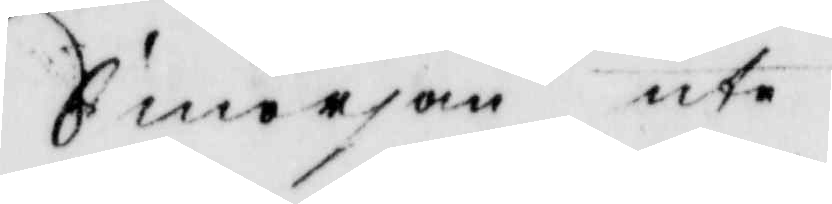Smörjan ute.
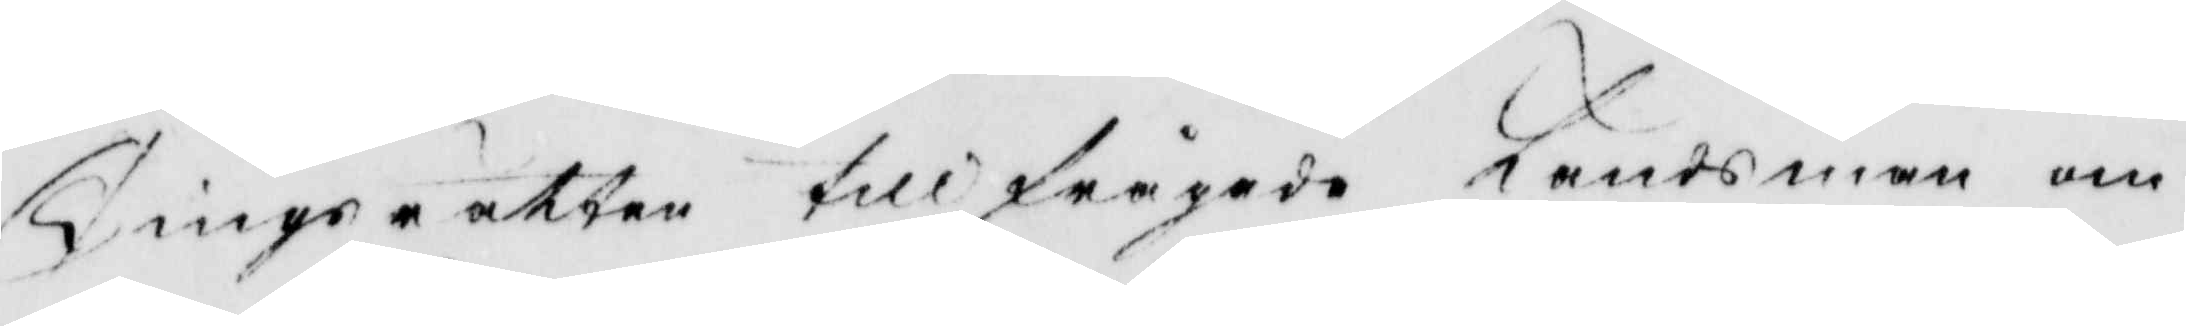Tingsrätten tillfrågade Ländsman om
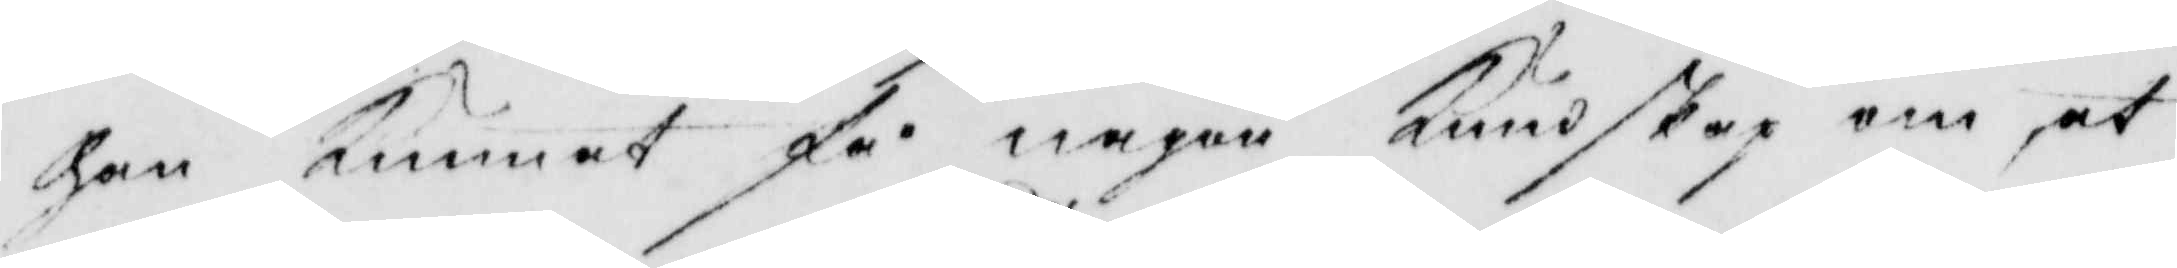han Kunnat få någon Kundskap om at
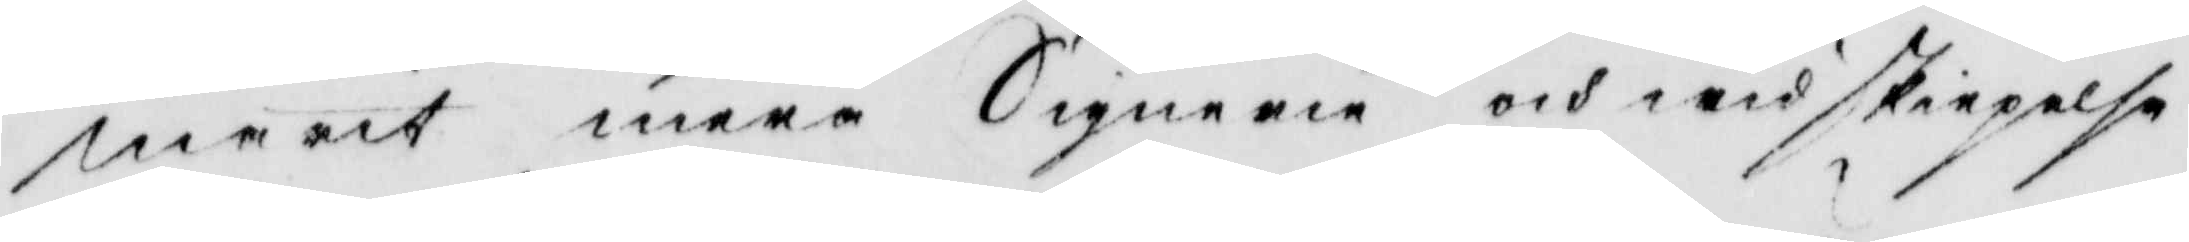marit mera Signerie och widskiepelse
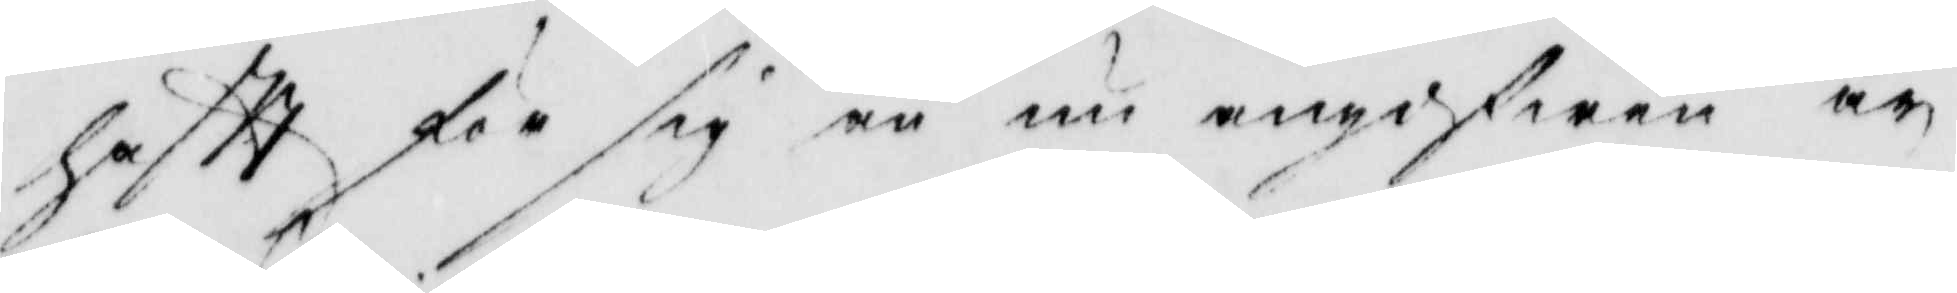haftt för sig än nu angifwen är.
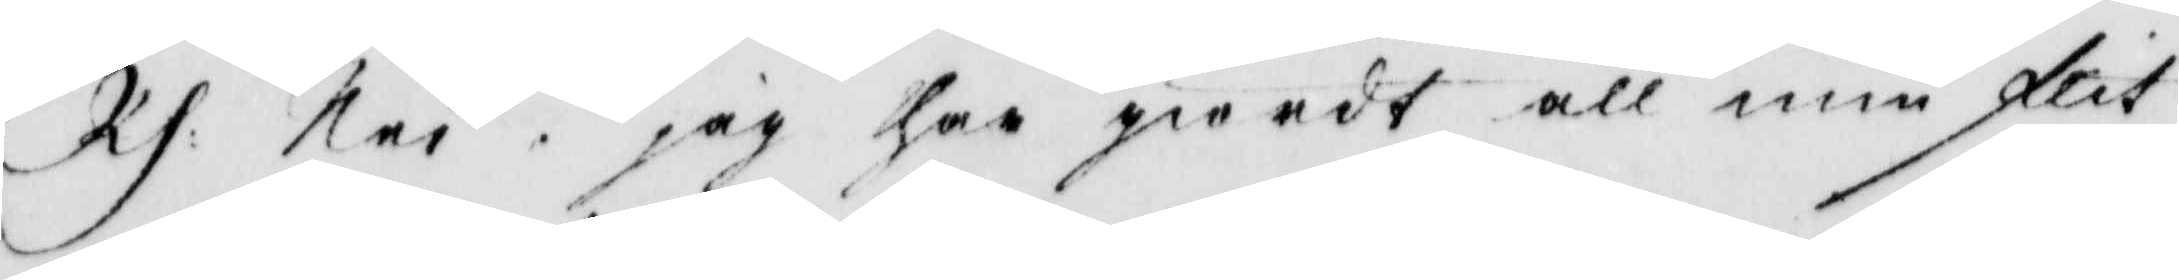Rs: Nei. jag har giordt all min flit
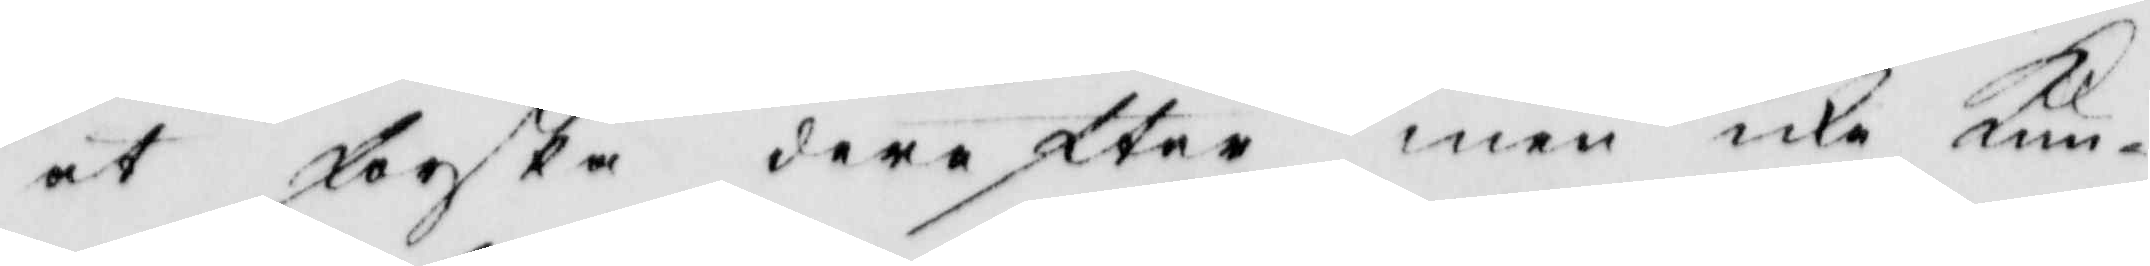at forska derefter men icke Kun¬
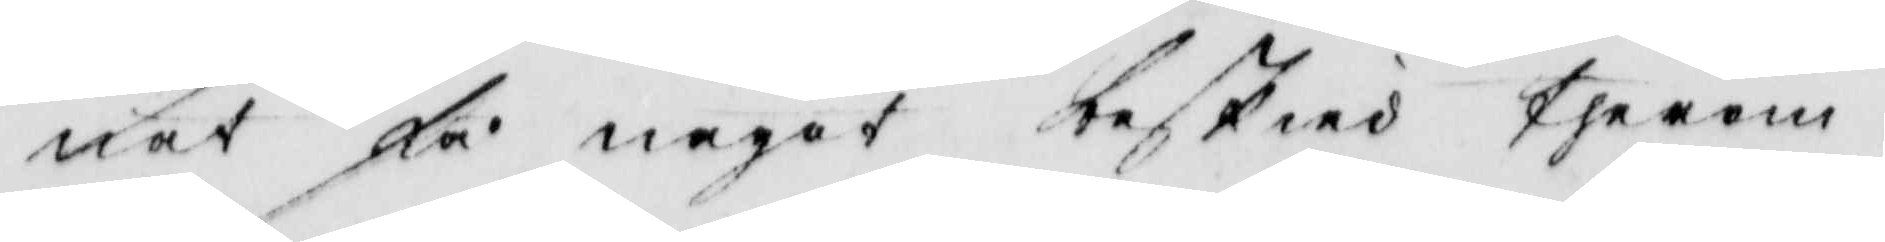nat få något beskied therom.
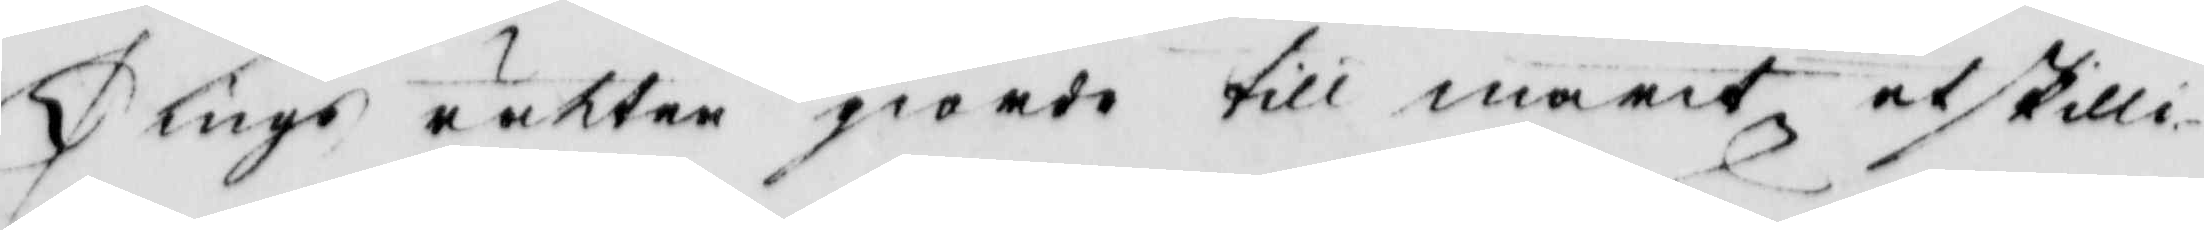Tings rätten giorde till marit åtskilli¬
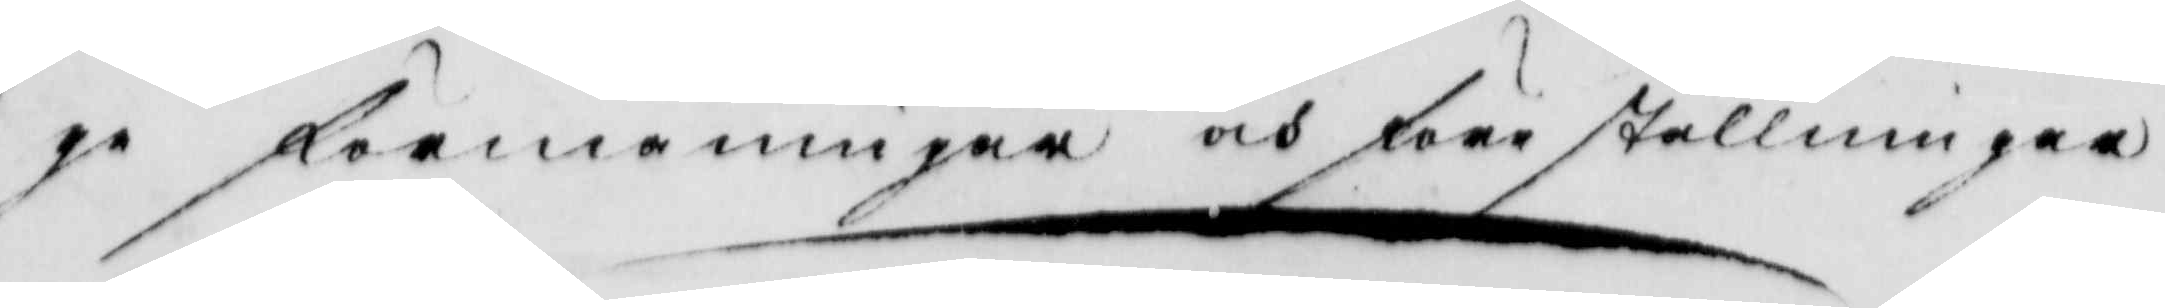ge förmaningar och förställningar
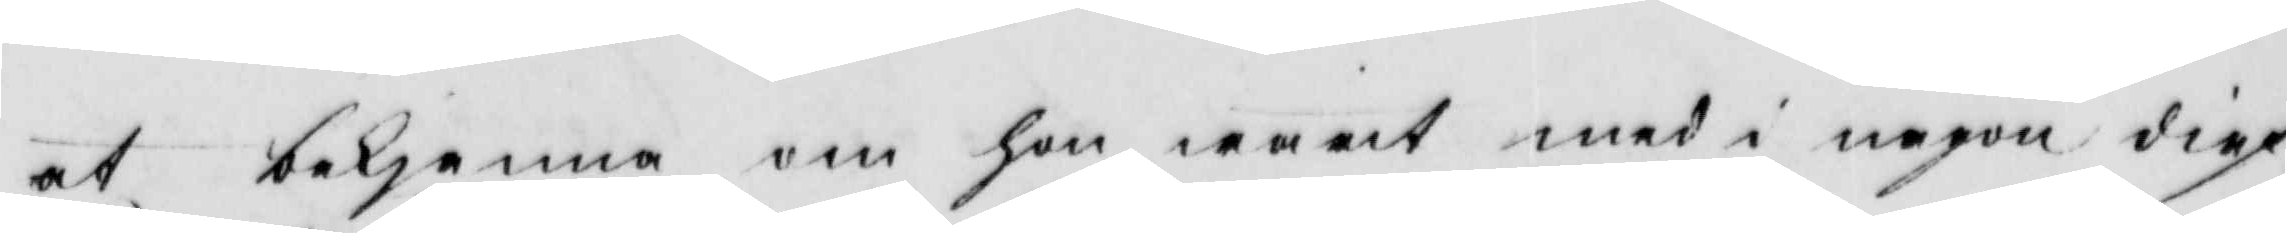at bekjenna om hon warit med i någon dief¬
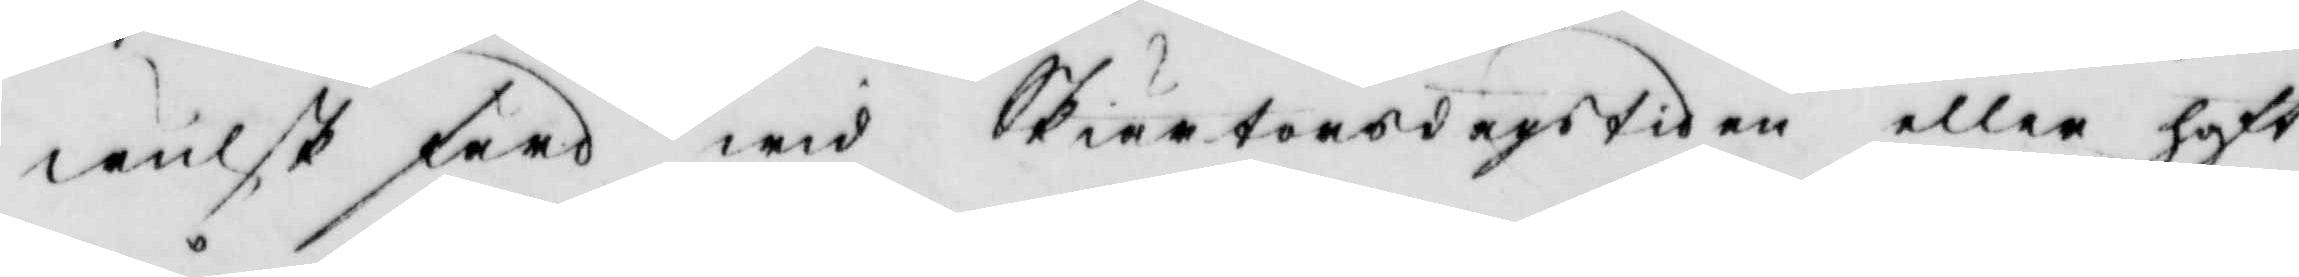wulsk färd wid Skiärtorsdagstiden eller haft
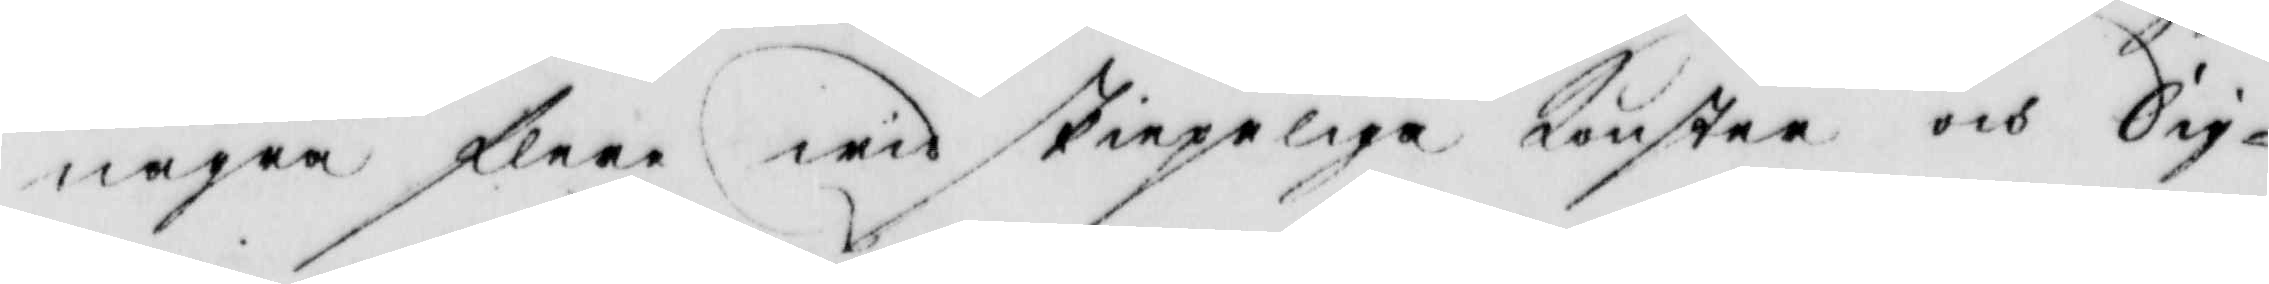några flere widskiepeliga Konster och Sig¬
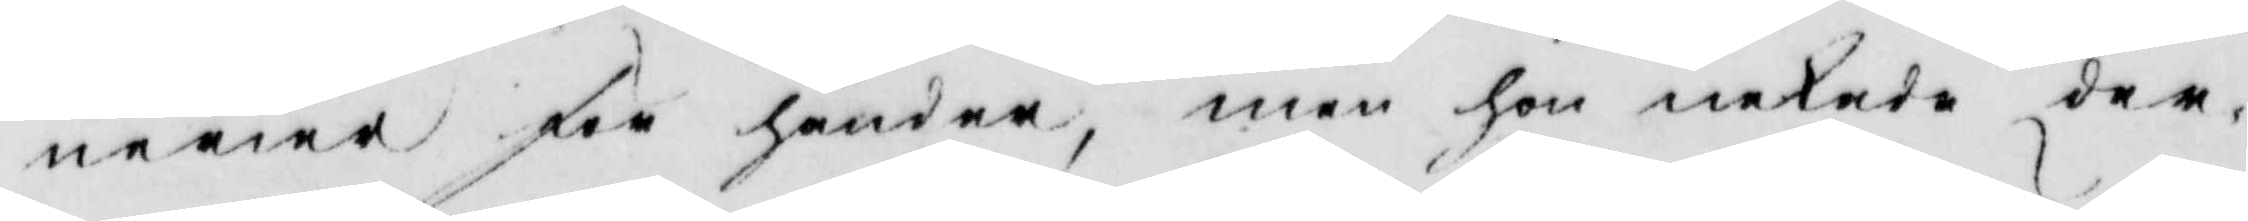nerier för händer, men hon nekade der
